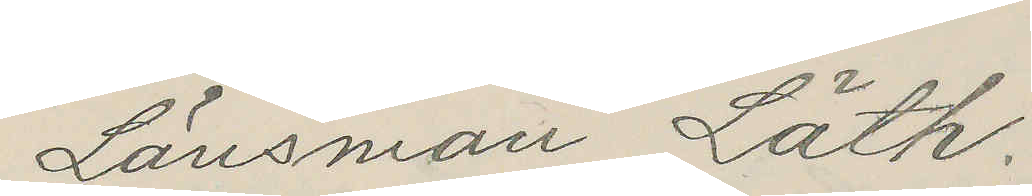Länsman Läth.
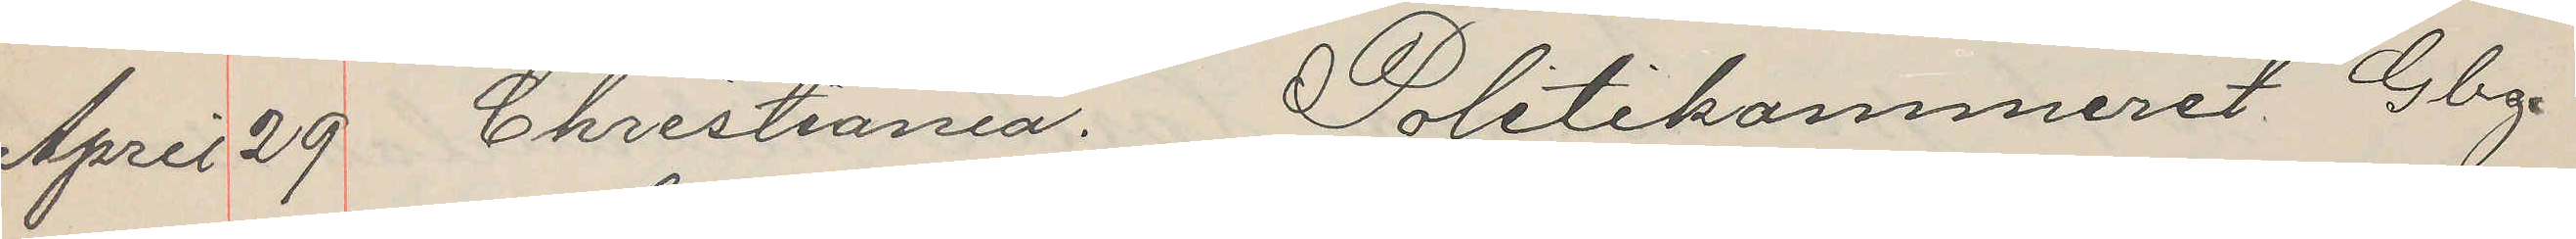April 29 Christiania. Politikammeret Gbg.
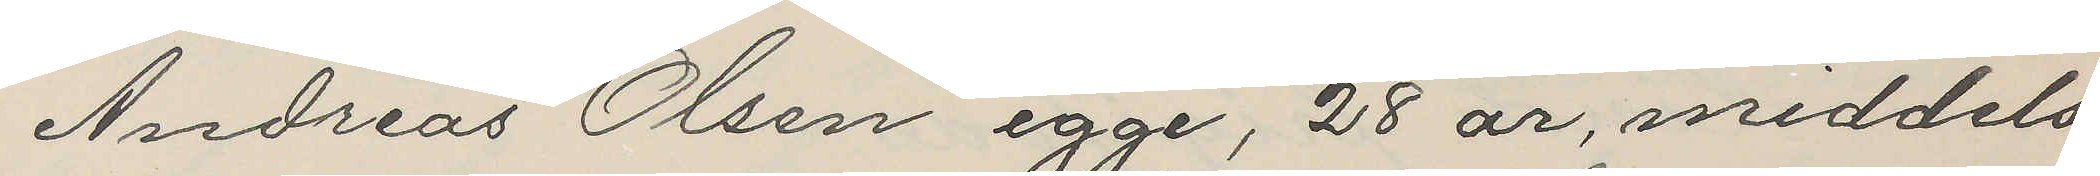Andreas Olsen egge, 28 år, middels
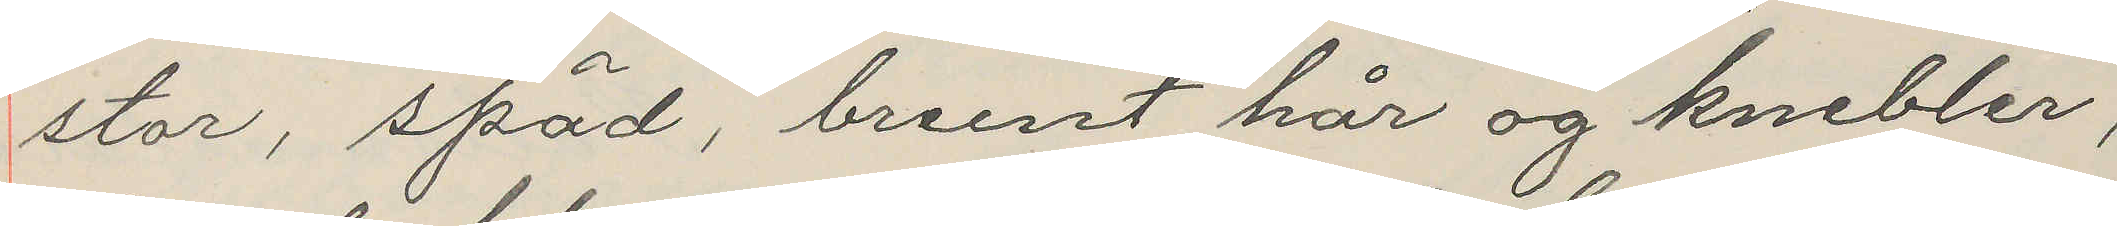stor, späd, brunt hår og knebler,
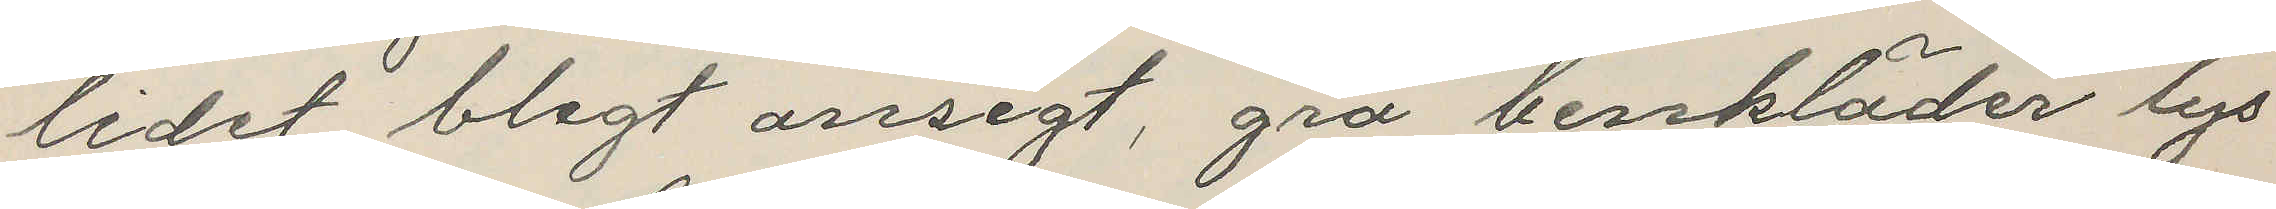lidet blegt ansigt, grå benkläder lys
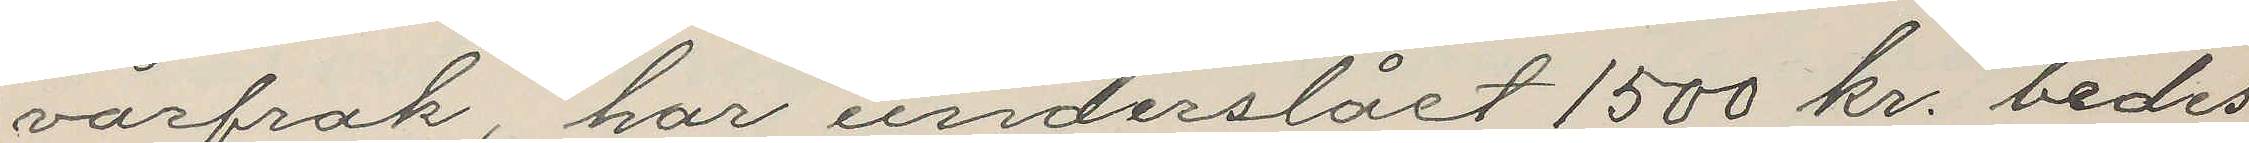vårfrak, har underslået 1500 kr. bedes
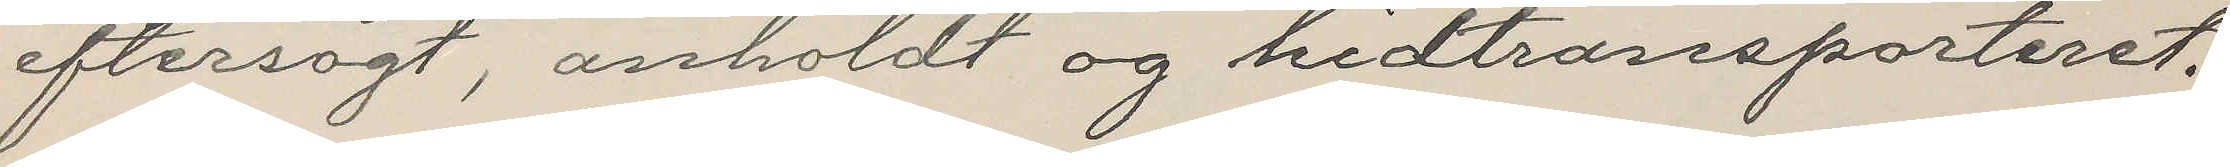eftersögt, anholdt og hidtransporteret.
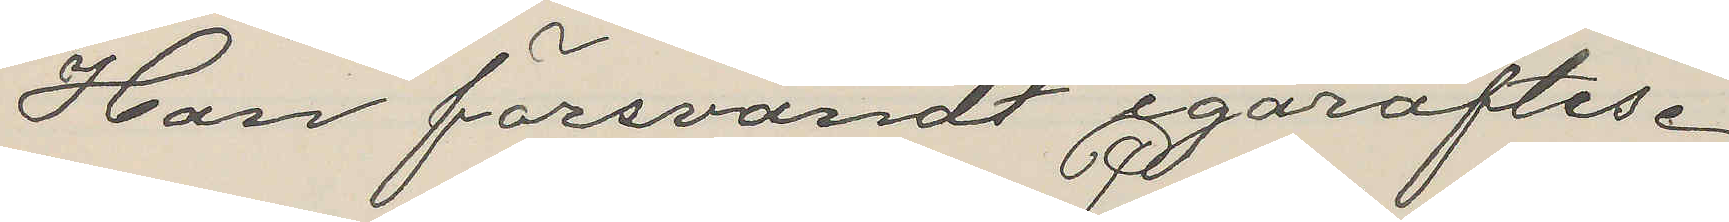Han försvandt igåraftes.
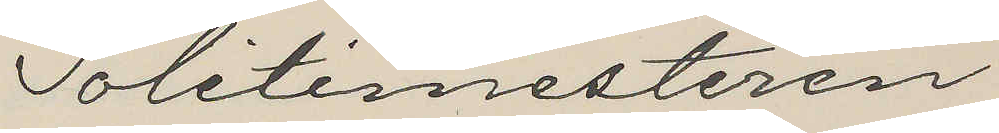Politimesteren
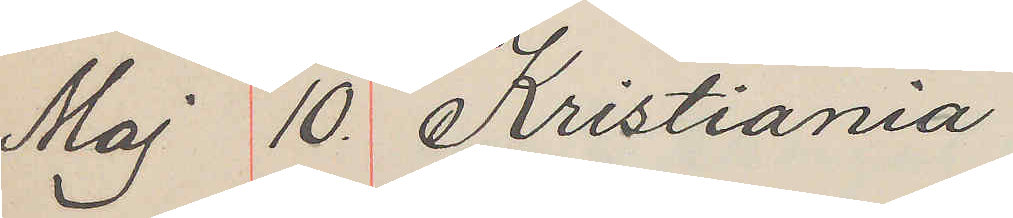Maj 10. Kristiania
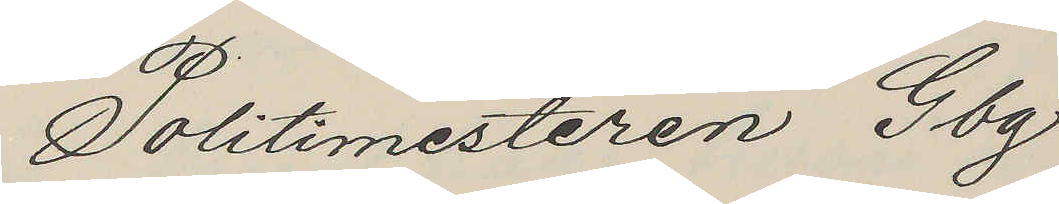Politimesteren Gbg
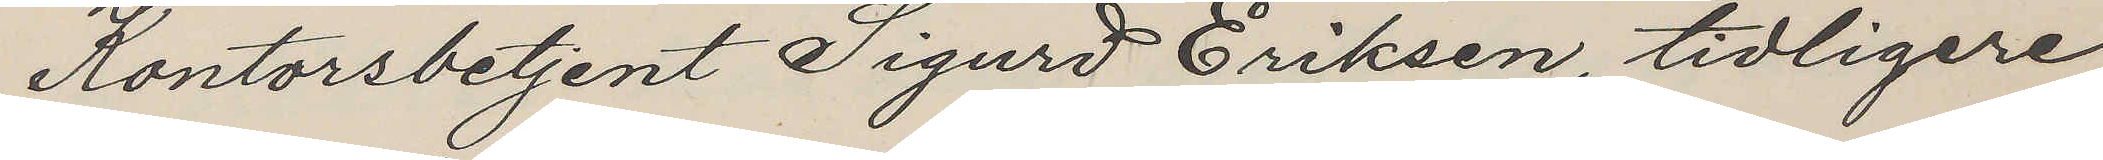Kontorsbetjent Sigurd Eriksen, tidligere
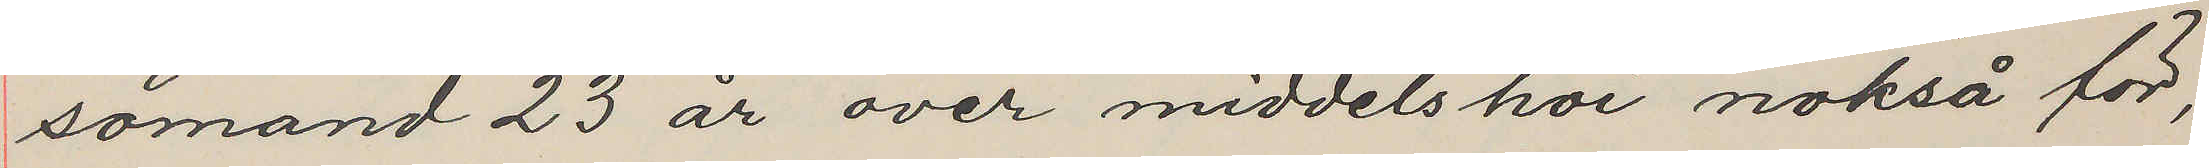sömand 23 år over middelshoi nokså för,
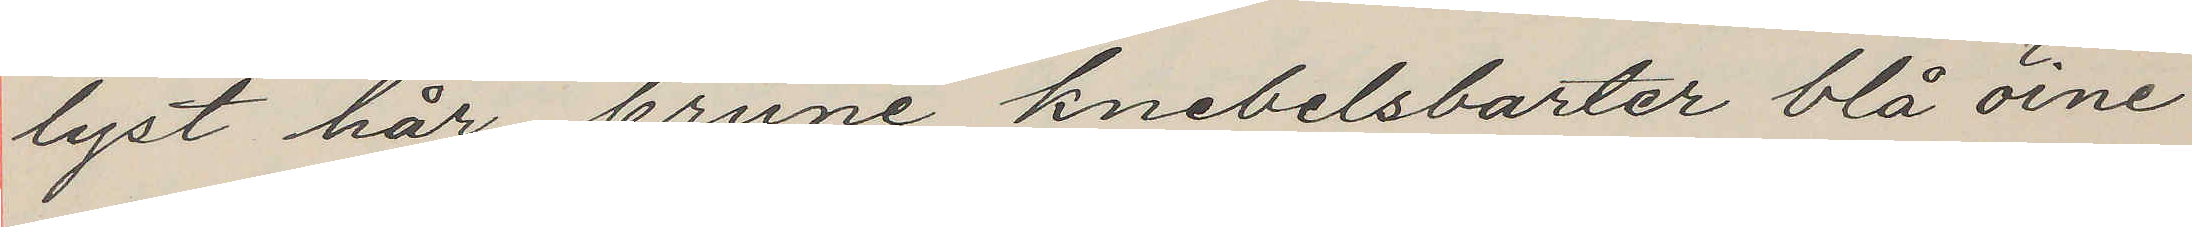lyst hår, brune knebelsbarter blå öine
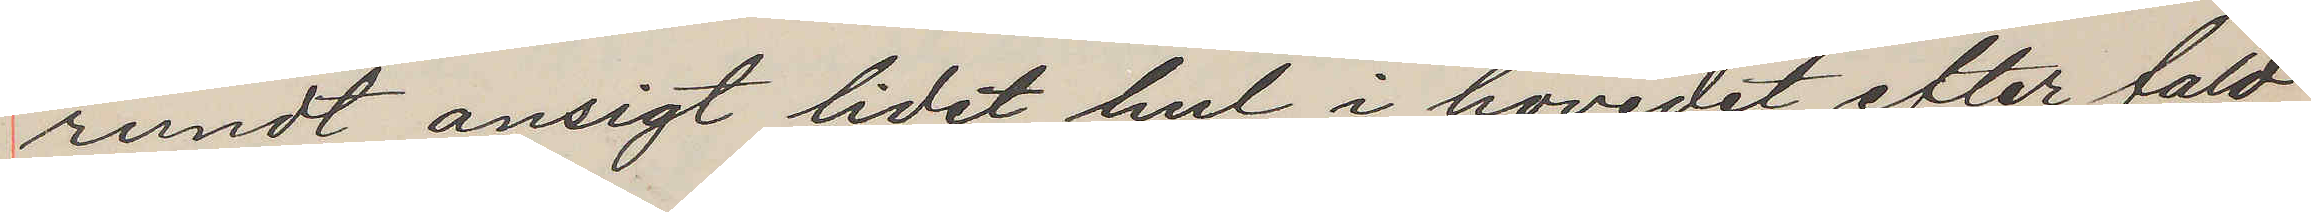rundt ansigt lidet hul i hovedet efter fald
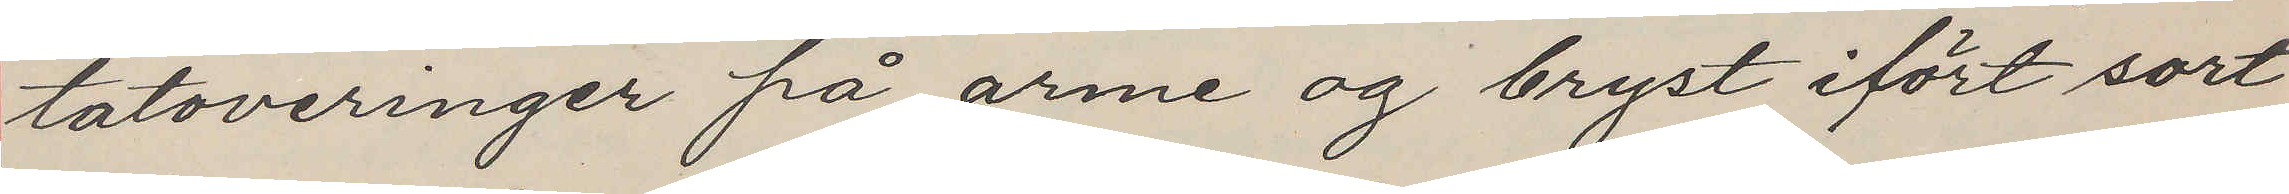tatoveringer på arme og bryst ifört sort
